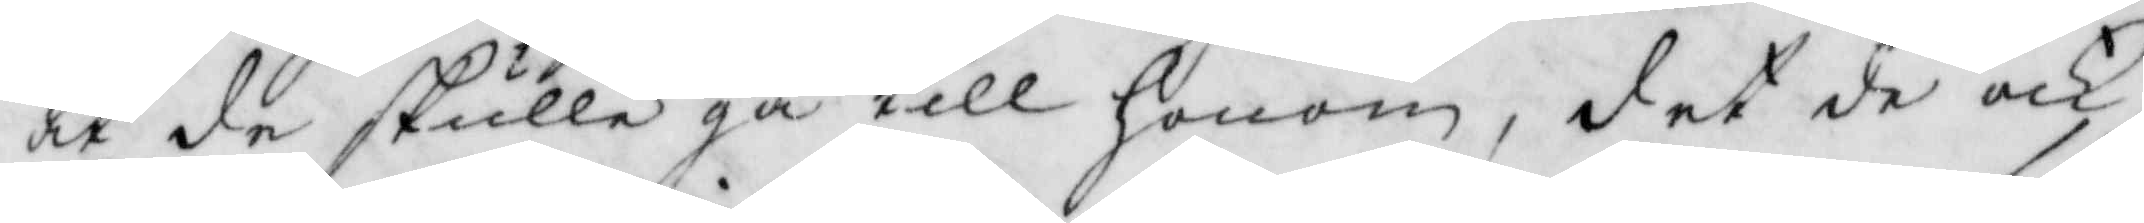at de skulle gå till honom, det de ock
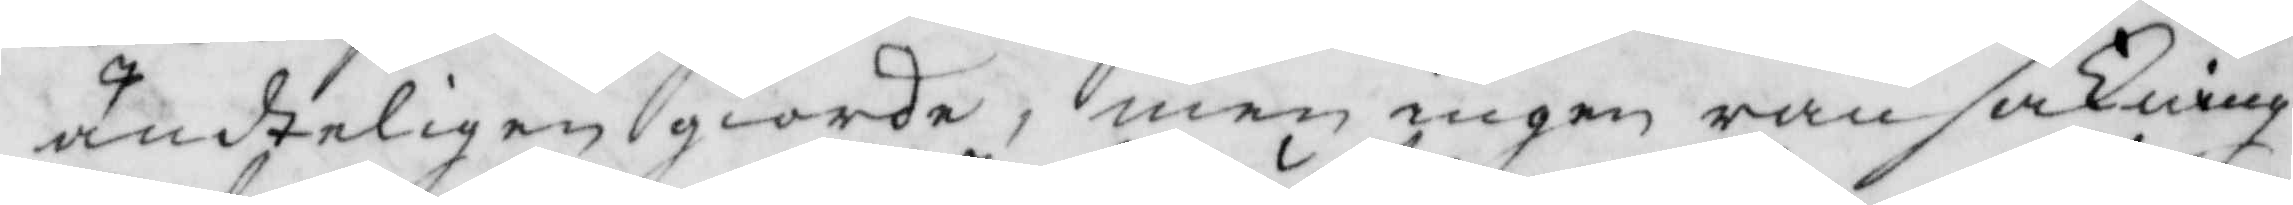ändteligen giorde, men ingen ransakning
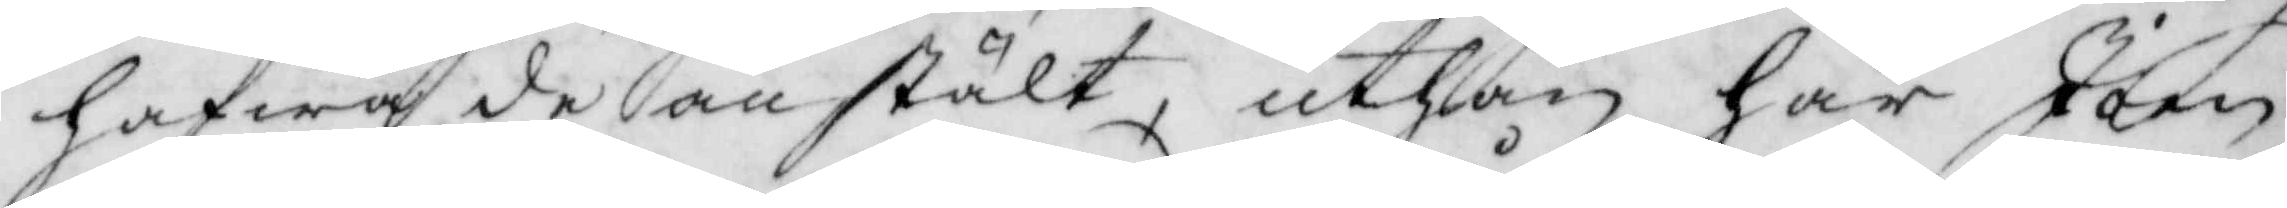hafwa de anstält, uthan har Joen
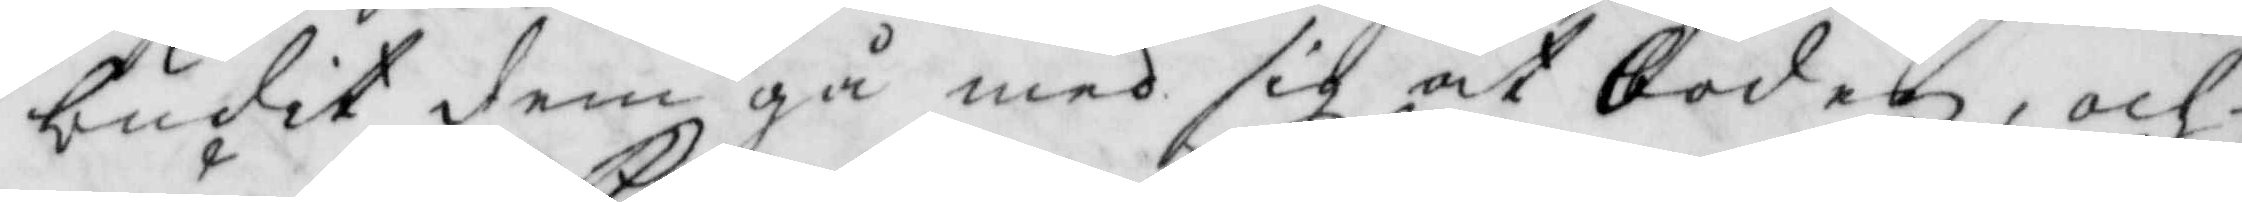budit dem gå med sig åt boden, och
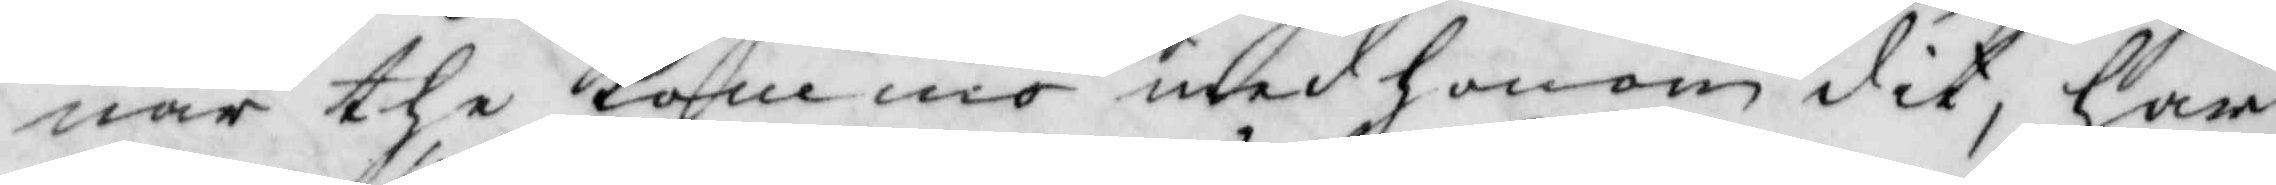när the kommo med honom dit, har
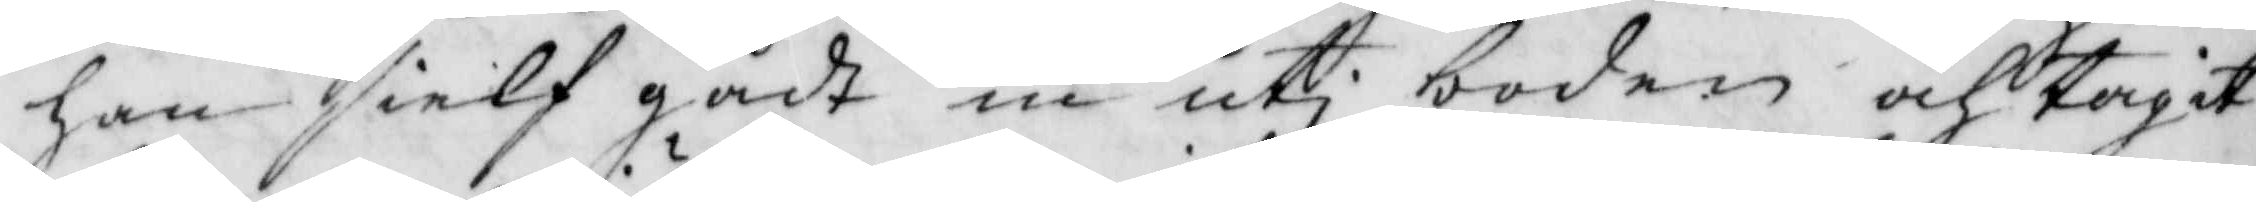han sielf gådt in uti boden och tagit
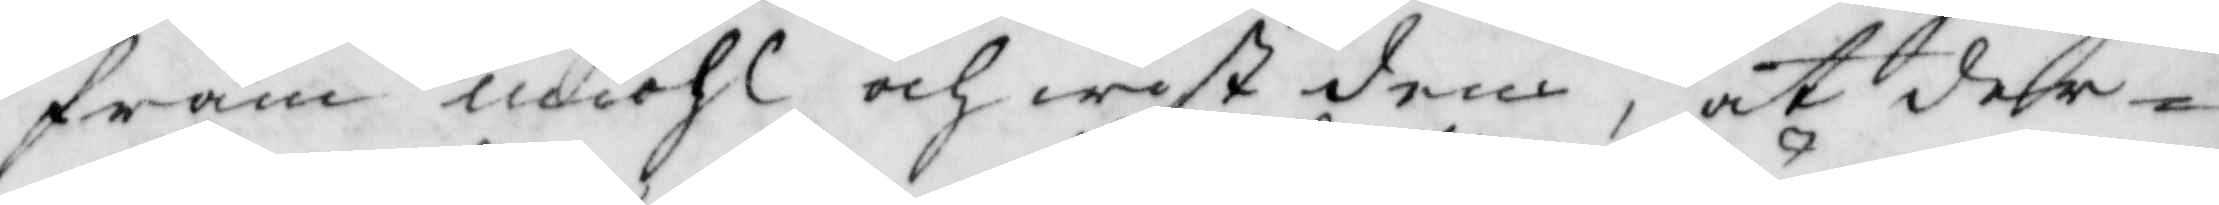fram miöhl och wist dem, att der¬
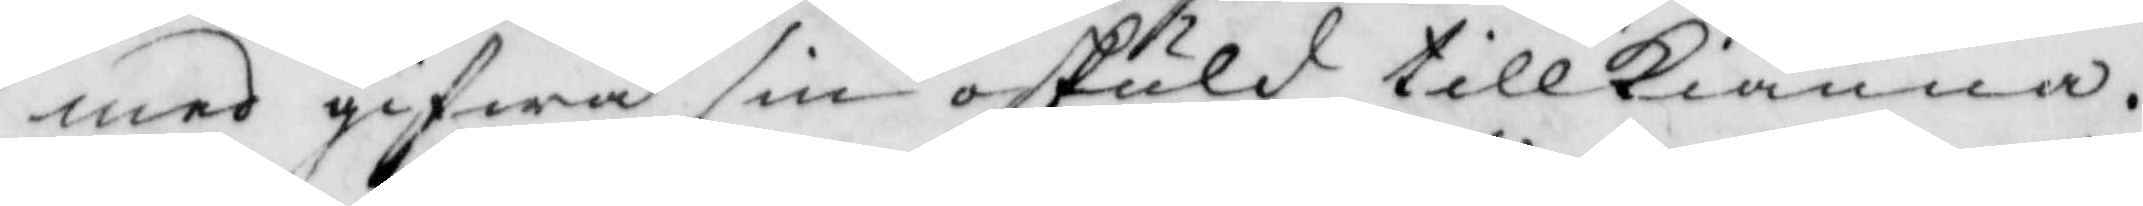med gifwa sin oskuld tillkiänna.
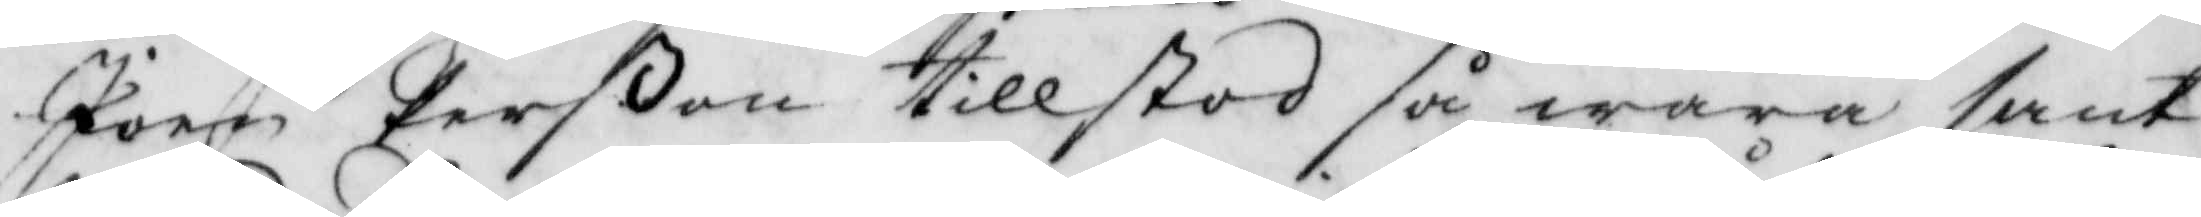Joen Perßon tillstod så wara sant
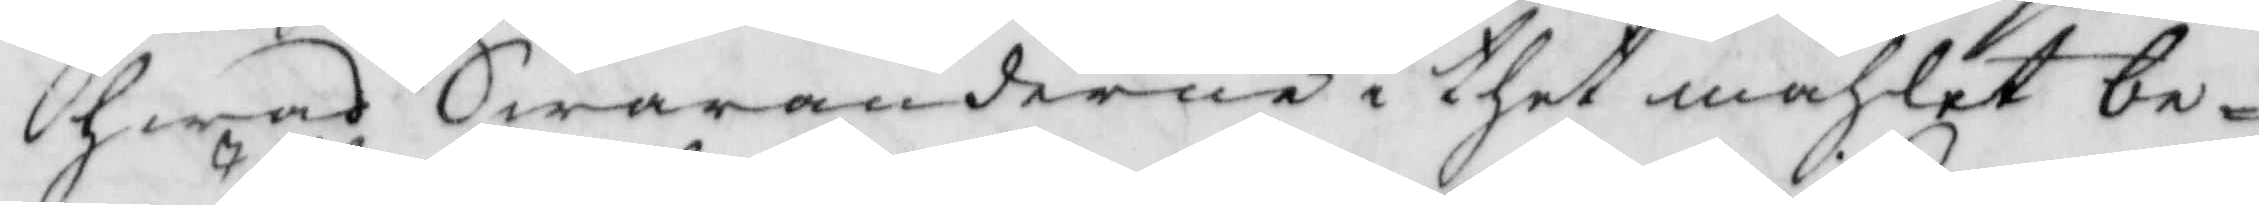hwad Swaranderne i thet måhlet be¬
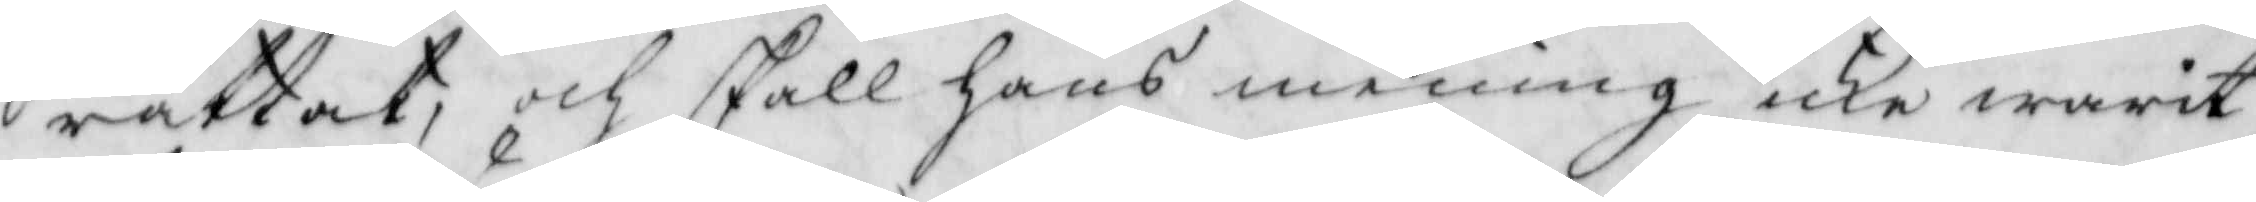rättat, och skall hans mening icke warit
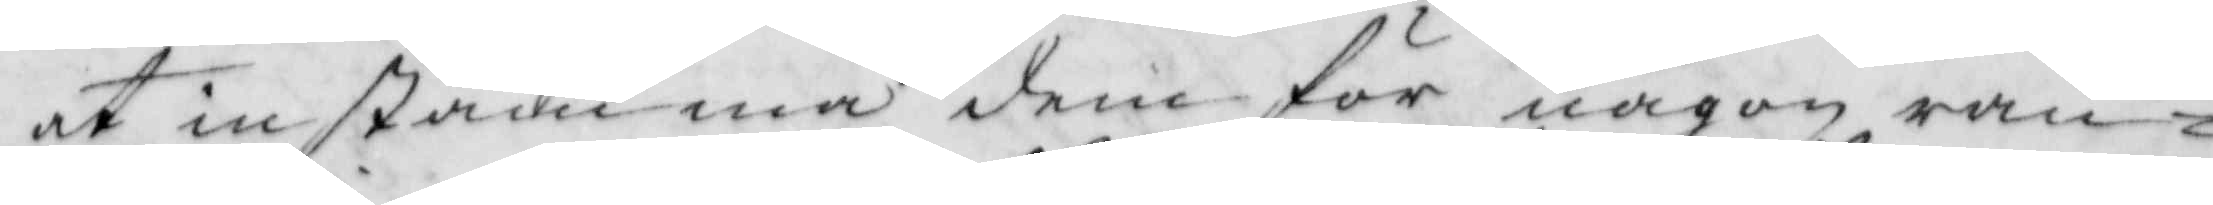at instämma dem för någon ran¬
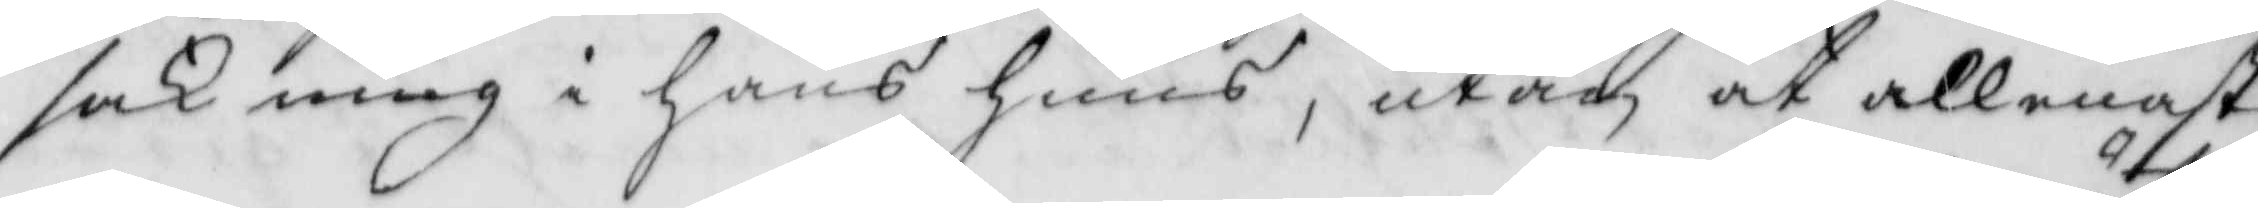sakning i hans huus, utan at allenast
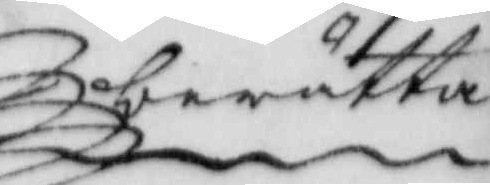berätta
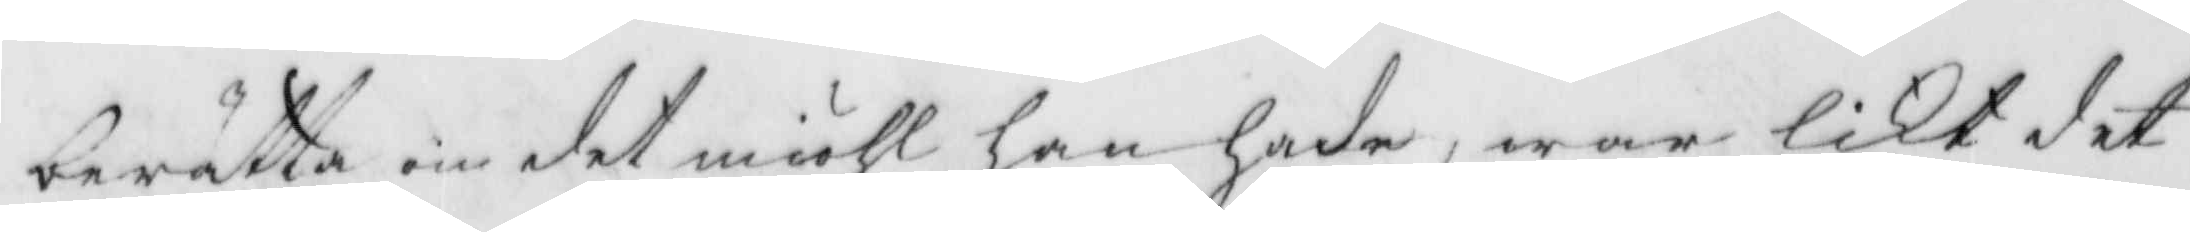berätta on det miöhl han hade, war likt det
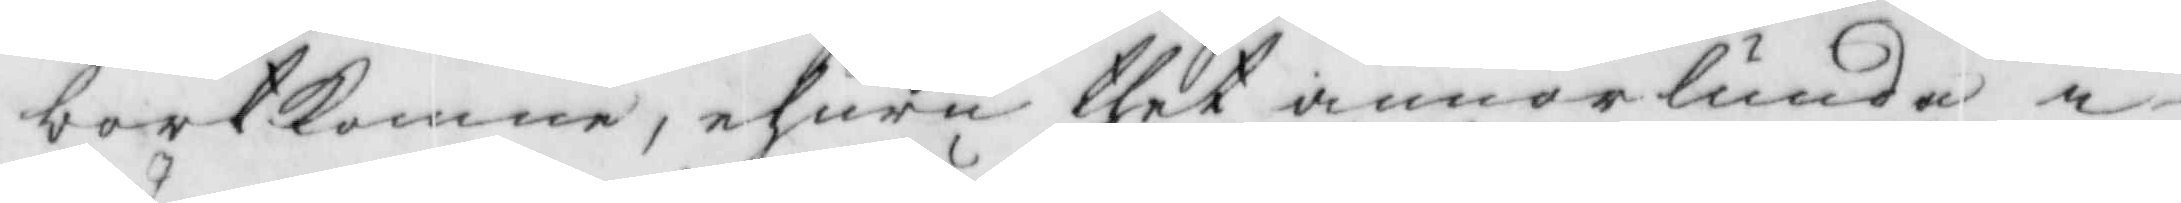bortkomne, ehuru thet annorlunda i¬
